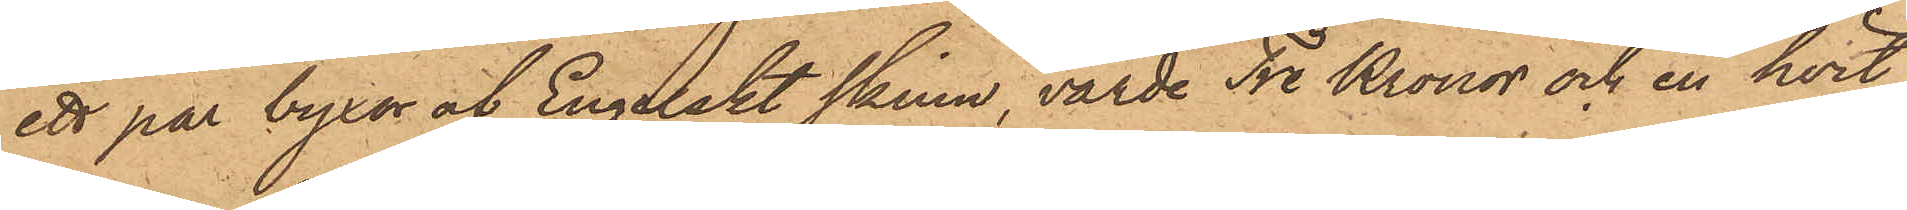ett par byxor af Engelskt skinn, värde Tre Kronor och en hvit
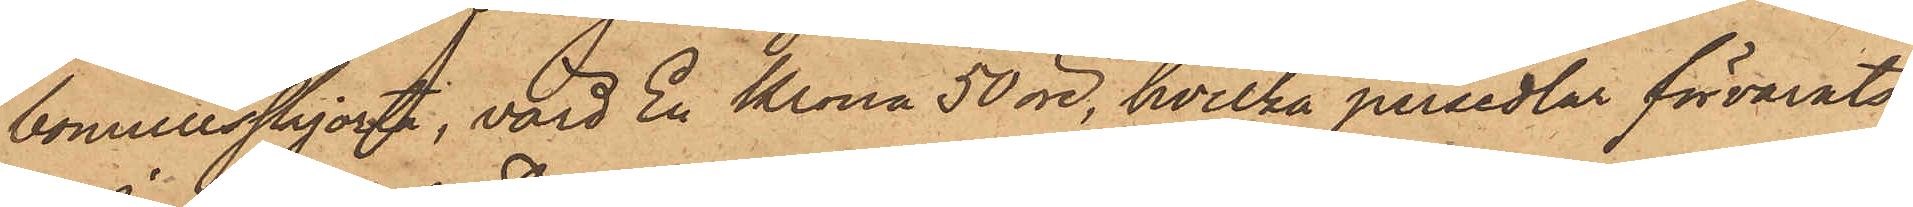bomullsskjorta, värd En Krona 50 öre, hvilka persedlar förvarats
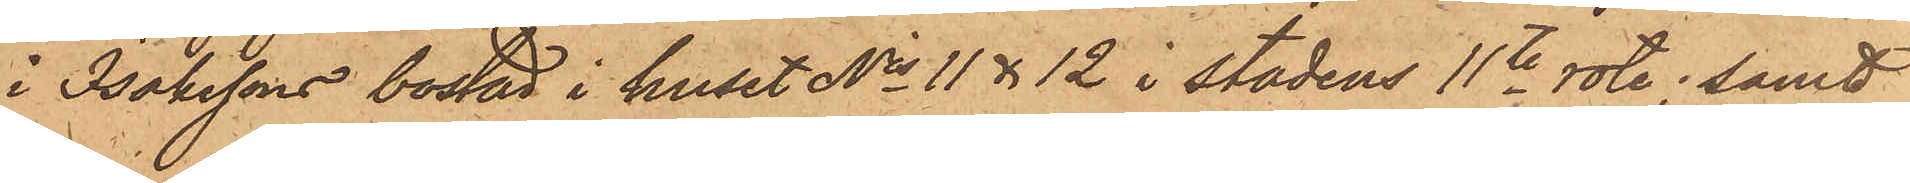i Isakssons bostad i huset No 11 & 12 i stadens 11te rote; samt
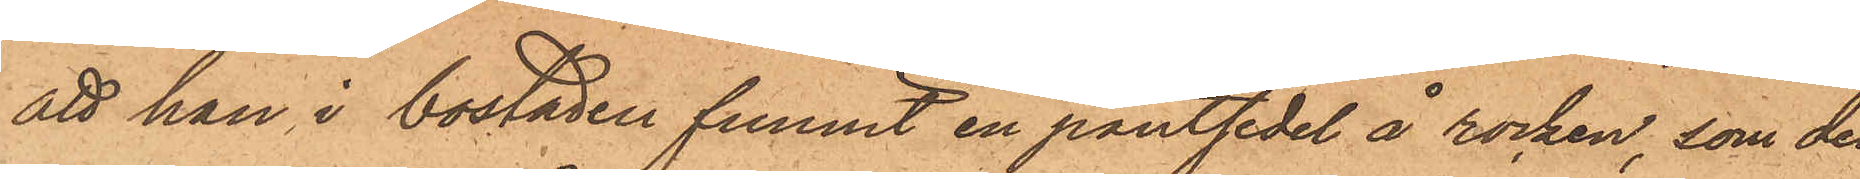att han i bostaden funnit en pantsedel å rocken, som de
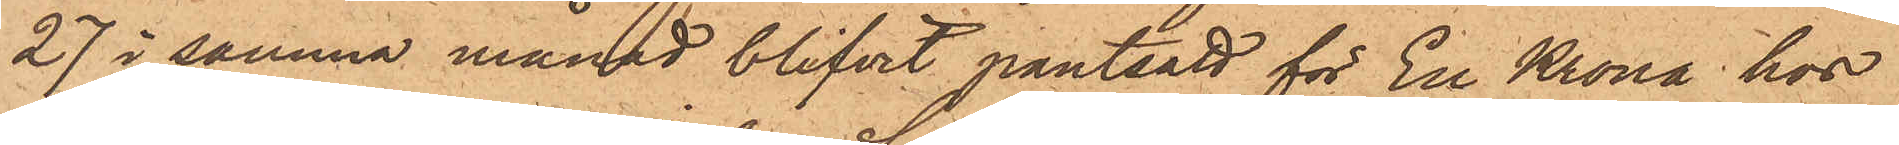27 i samma månad blifvit pantsatt för En Krona hos
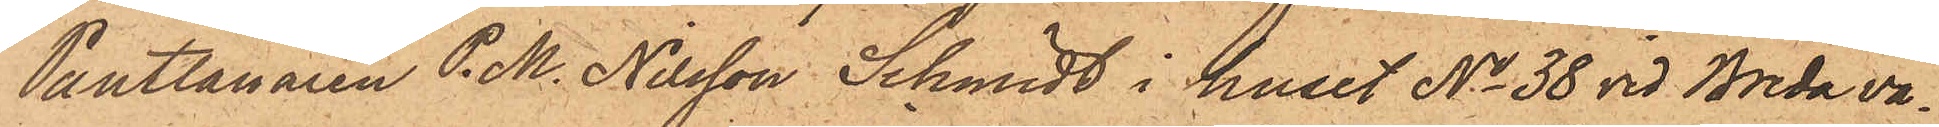Pantlånaren P. M. Nilsson Schmidt i huset No 38 vid Breda vä¬
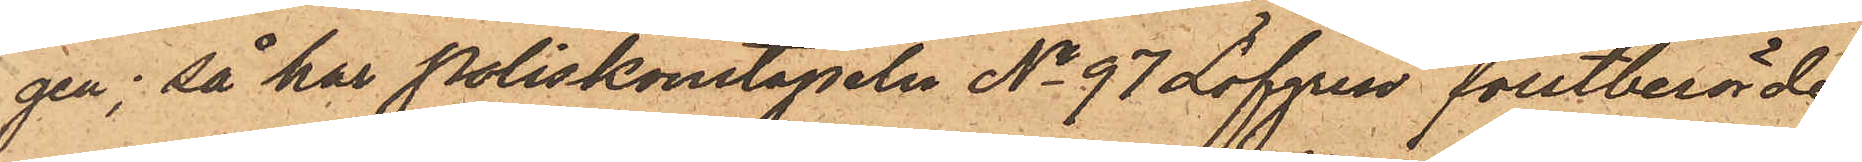gen; så har Poliskonstapeln No 97 Löfgren förstberörde
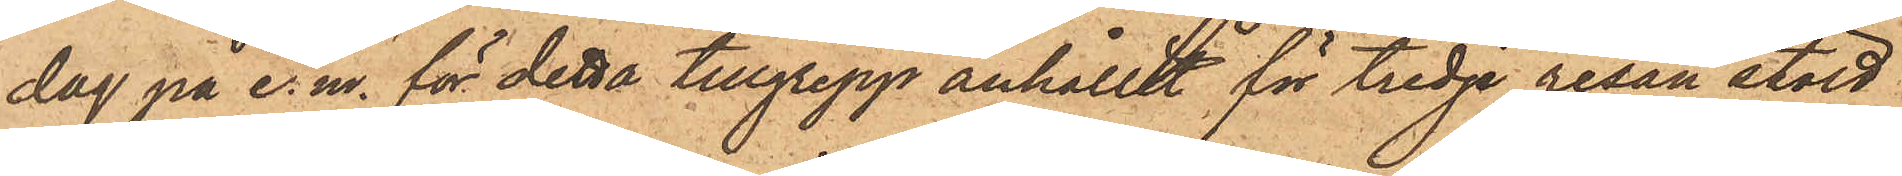dag på e. m. för detta tillgrepp anhållit för tredje resan stöld
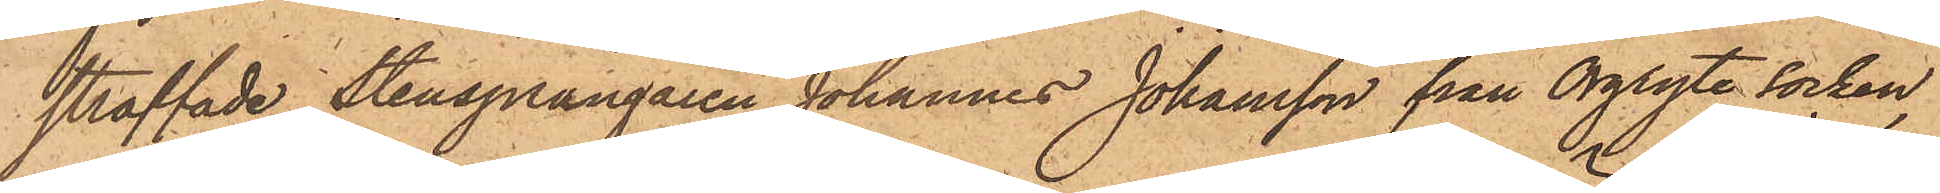straffade Stensprängaren Johannes Johansson från Örgryte socken,
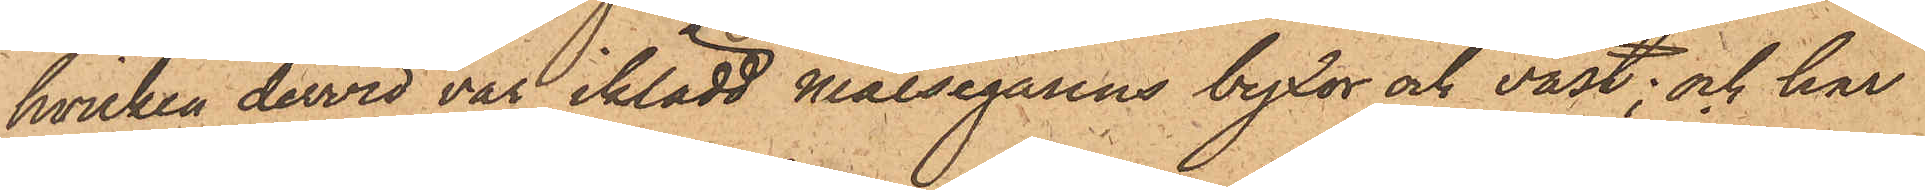hvilken dervid var iklädd målsegarens byxor och väst; och har
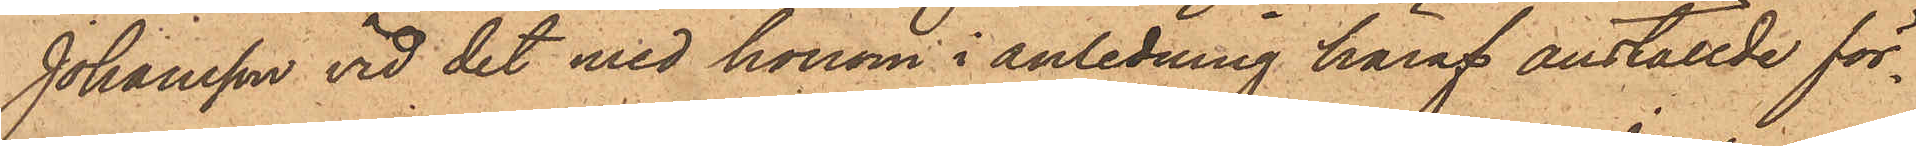Johansson vid det med honom i anledning häraf anställde för¬
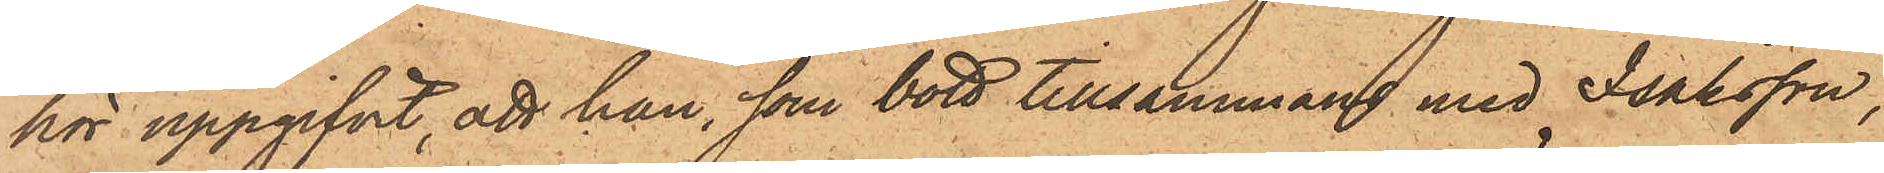hör uppgifvit, att han, som bott tillsammans med Isaksson,
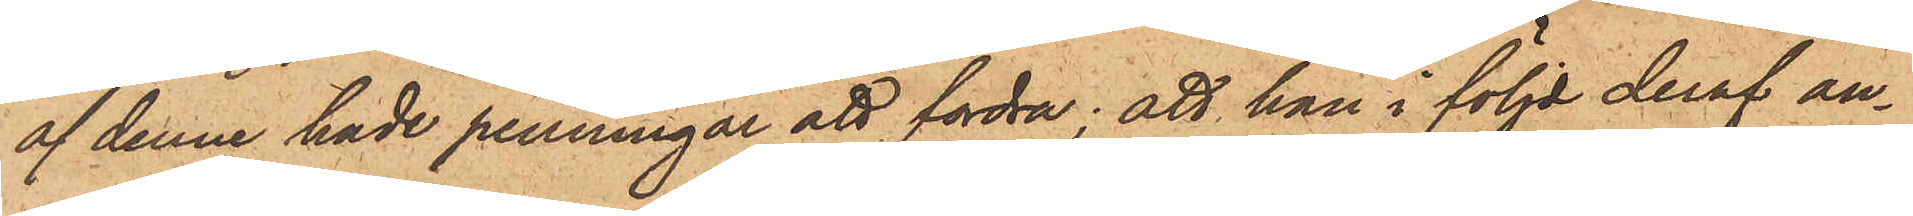af denne hade penningar att fordra; att han i följd deraf an¬
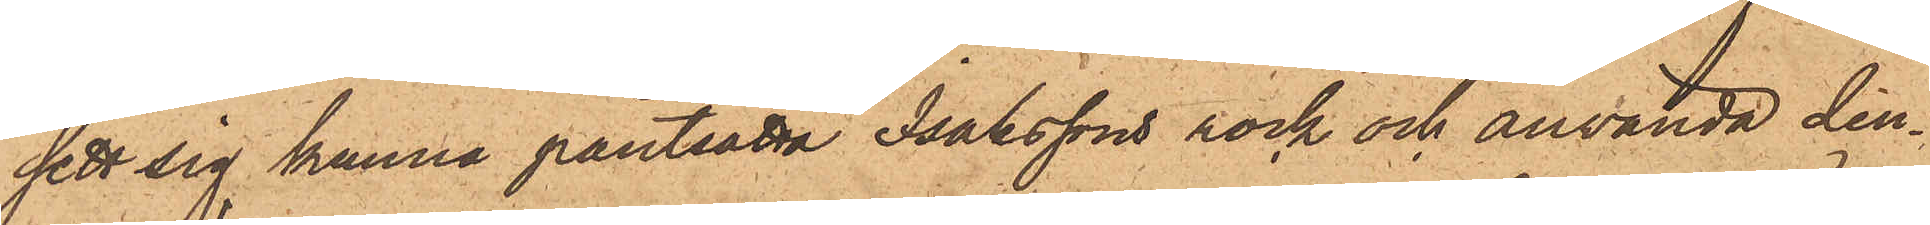sett sig kunna pantsatta Isakssons rock och använda den¬
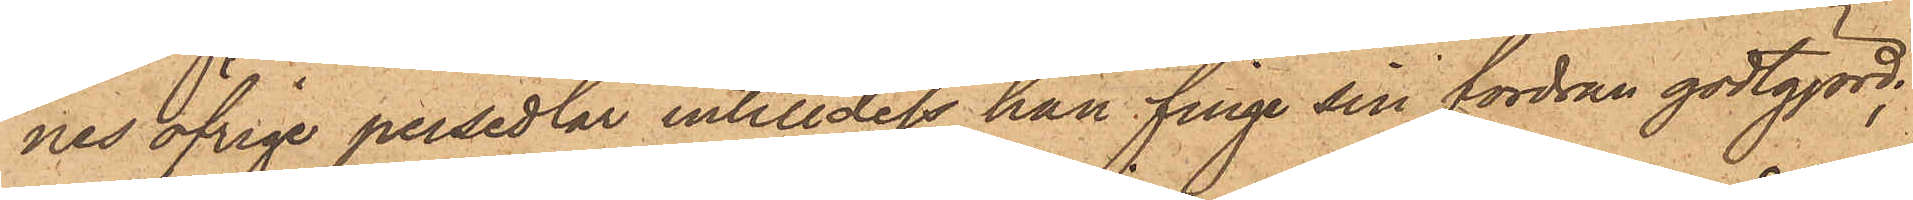nes öfrige persedlar intill dess han finge sin fordran godtgjord;
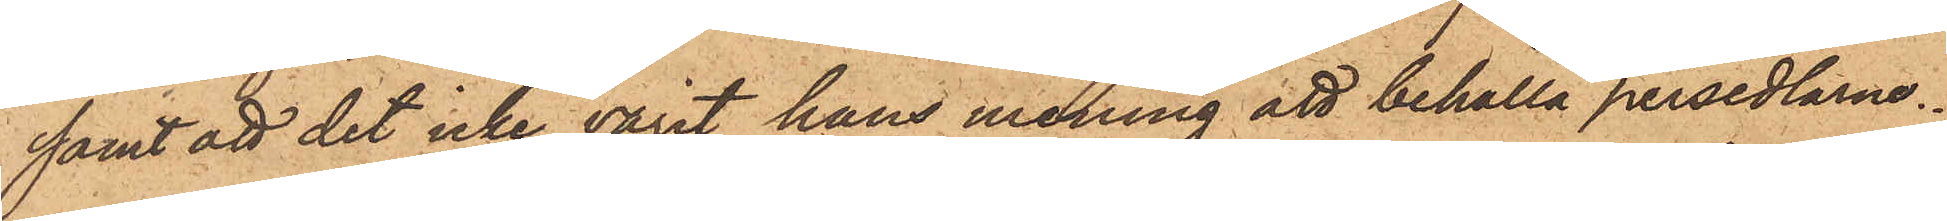samt att det icke varit hans mening att behålla persedlarne.
